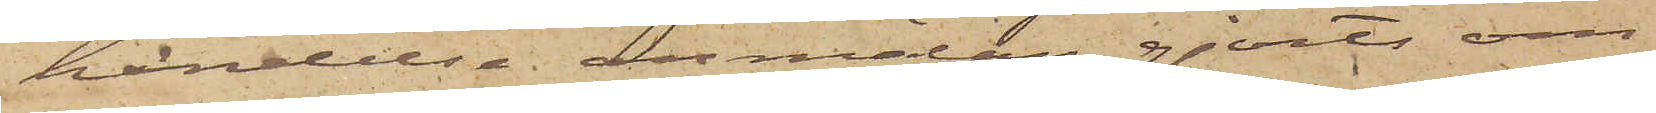händelse anmälan gjorts om
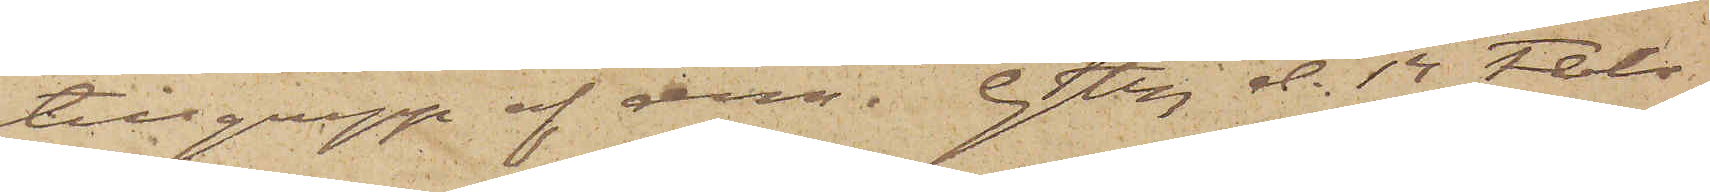tillgrepp af dem. Gtbg d. 14 Febr.
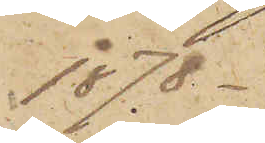1878.
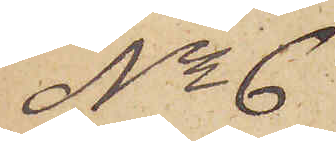No 6
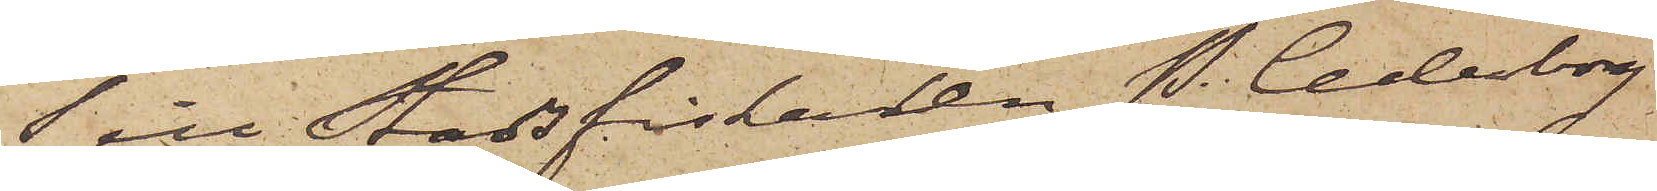Till Stadsfiskalen P. Cederborg
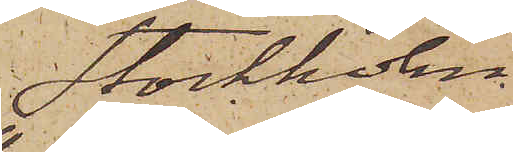Stockholm.
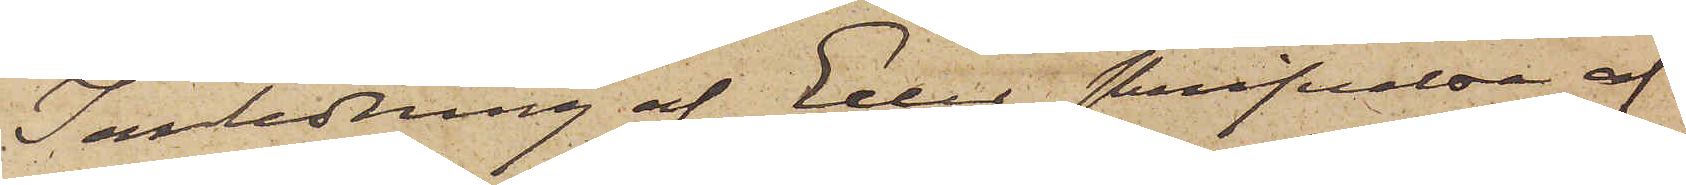I anledning af Eder skrifvelse af
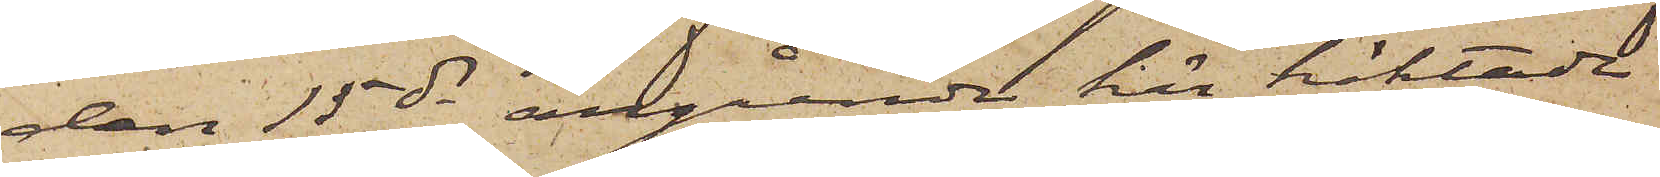den 15 ds angående här häktade
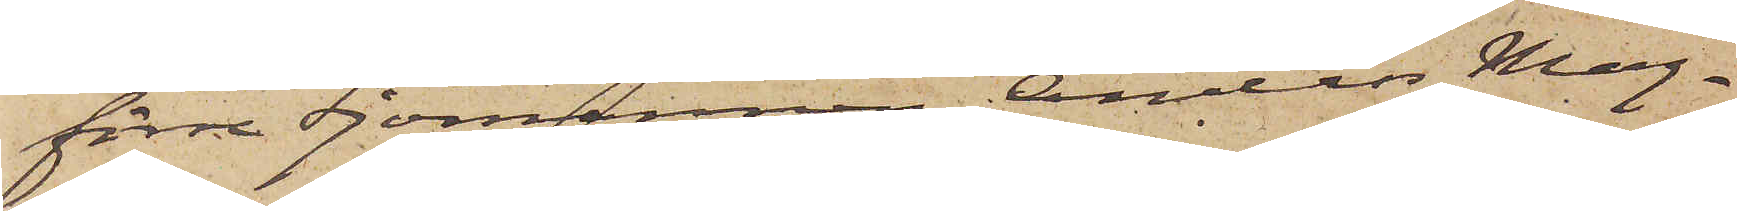förre Sjömannen Anders Mag¬
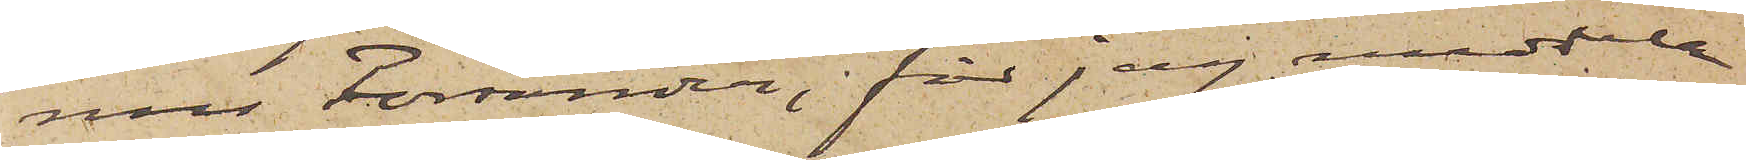nus Forsander, får jag meddela
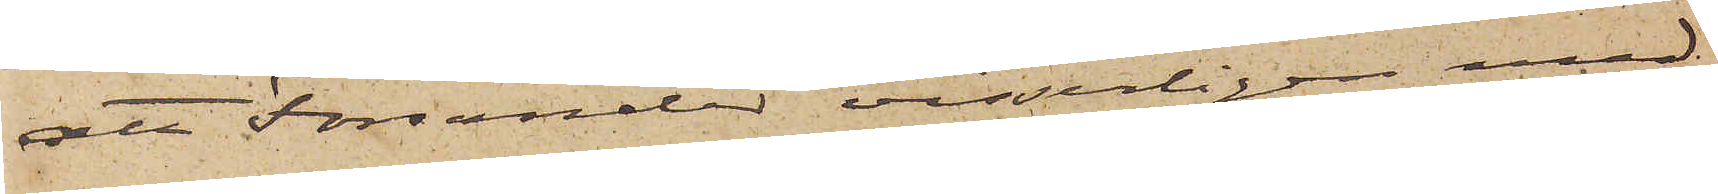att Forsander visserligen med¬
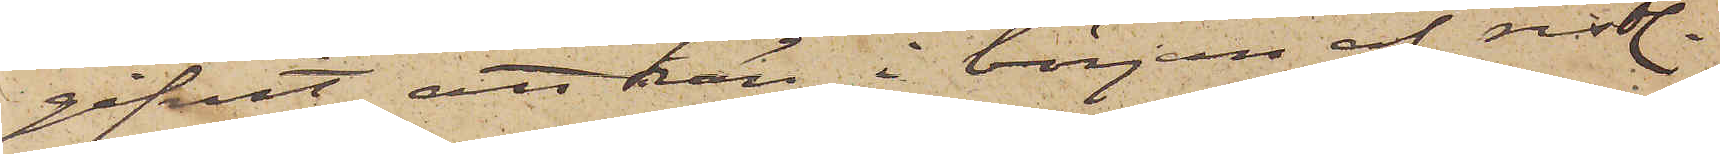gifvit att han i början af sistl.
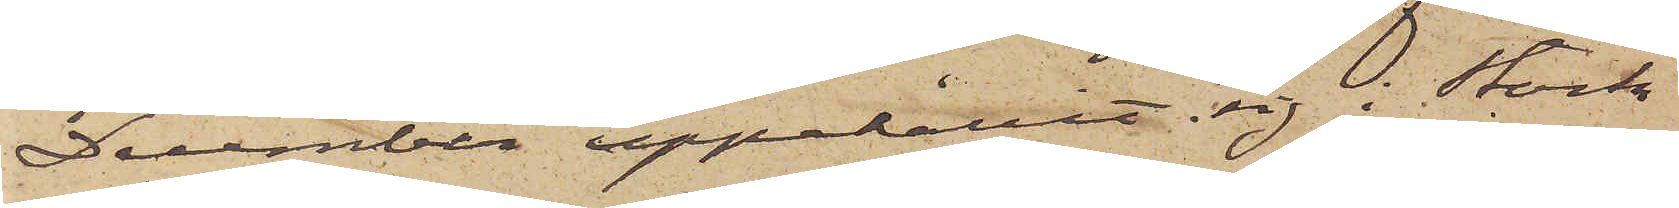December uppehållit sig i Stock¬
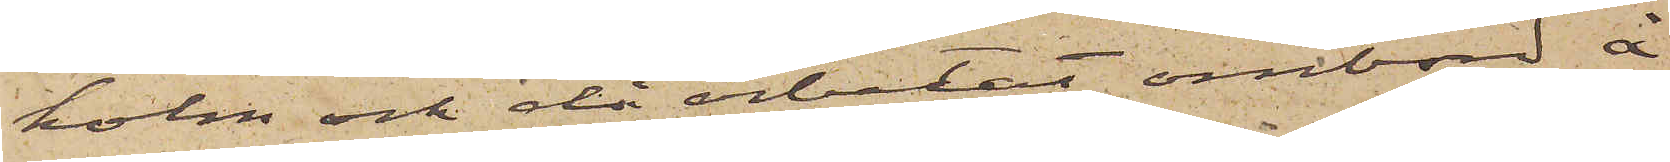holm och då arbetat ombord å
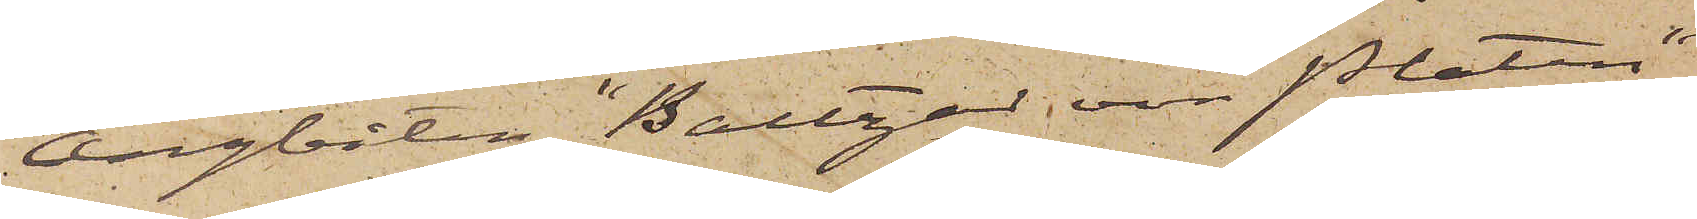ångbåten "Baltzar von Platen"
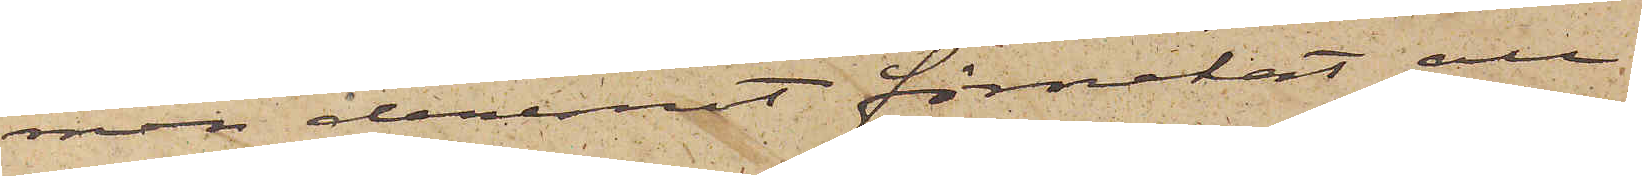men deremot förnekat all
